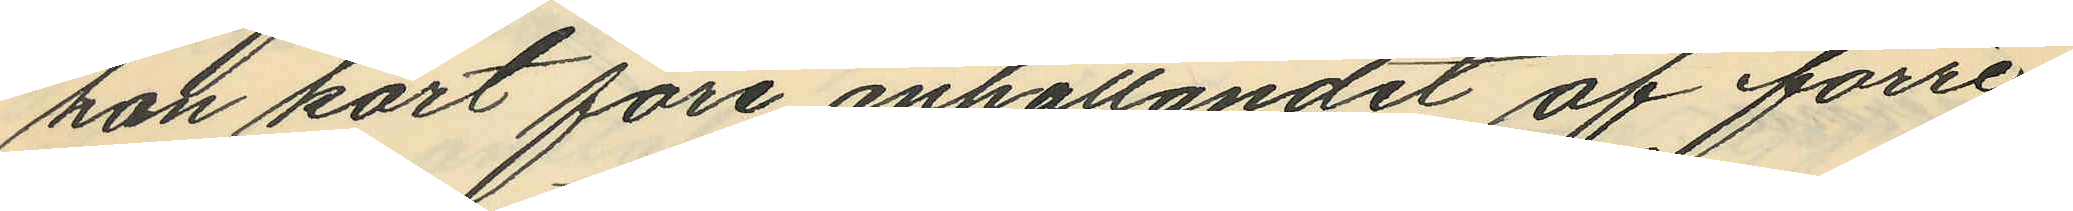han kort före anhållandet af förre
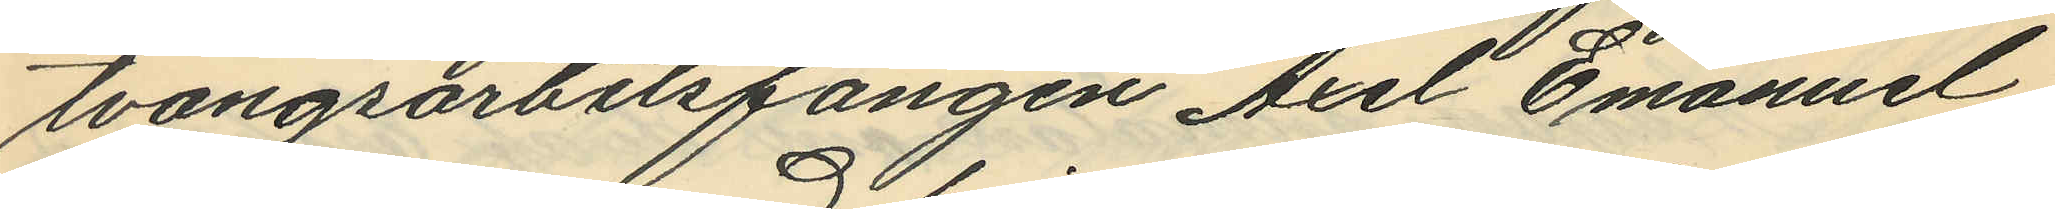tvångsarbetsfången Axel Emanuel
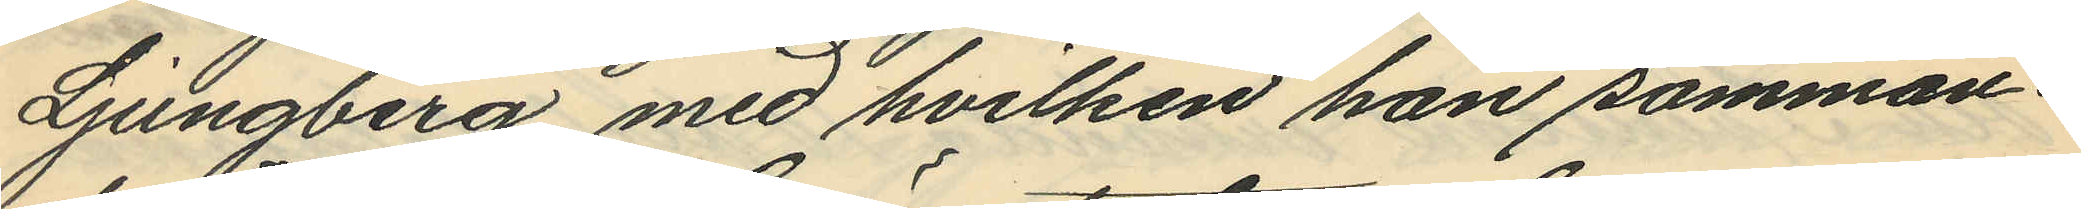Ljungberg med hvilken han samman¬
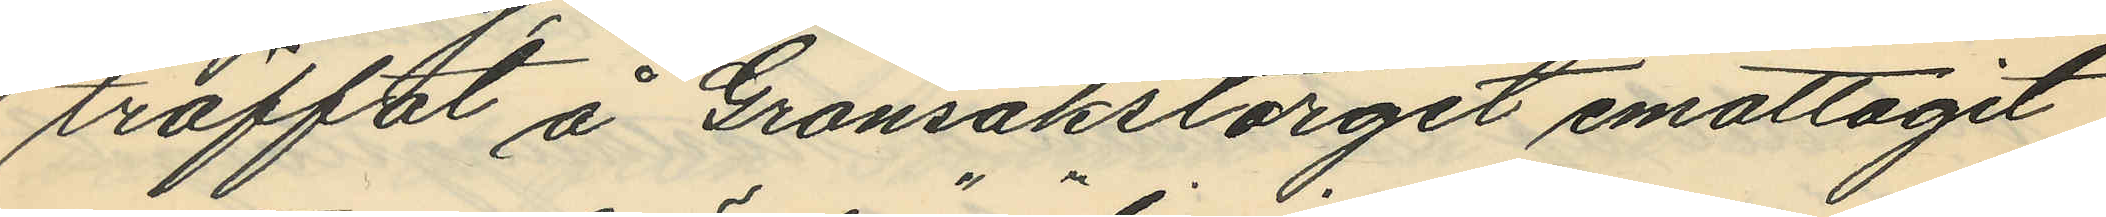träffat å Grönsakstorget emottagit
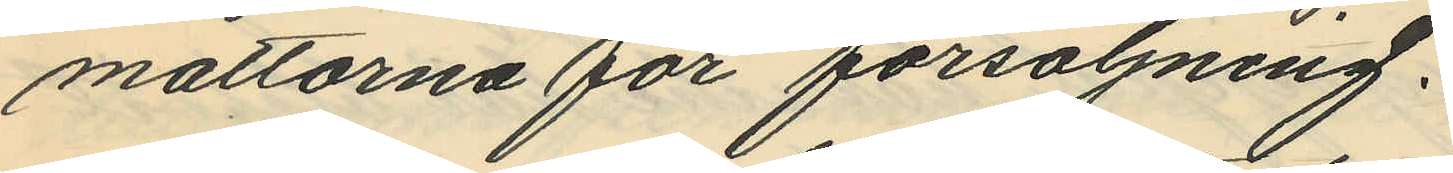mattorna för försäljning.
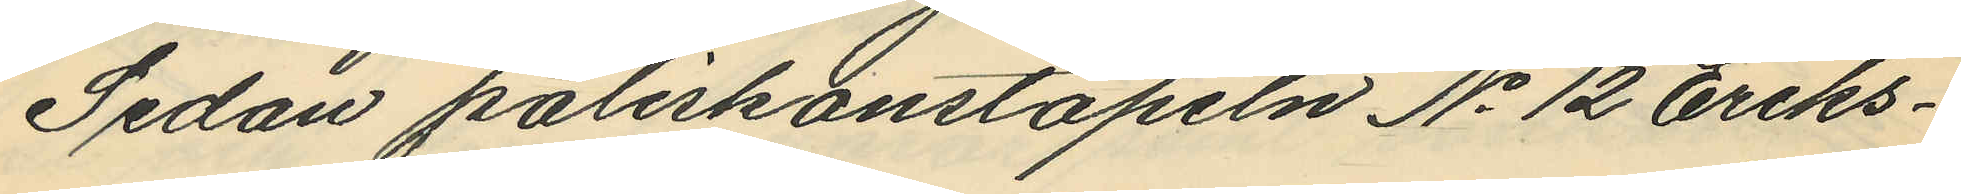Sedan poliskonstapeln No 12 Eriks¬
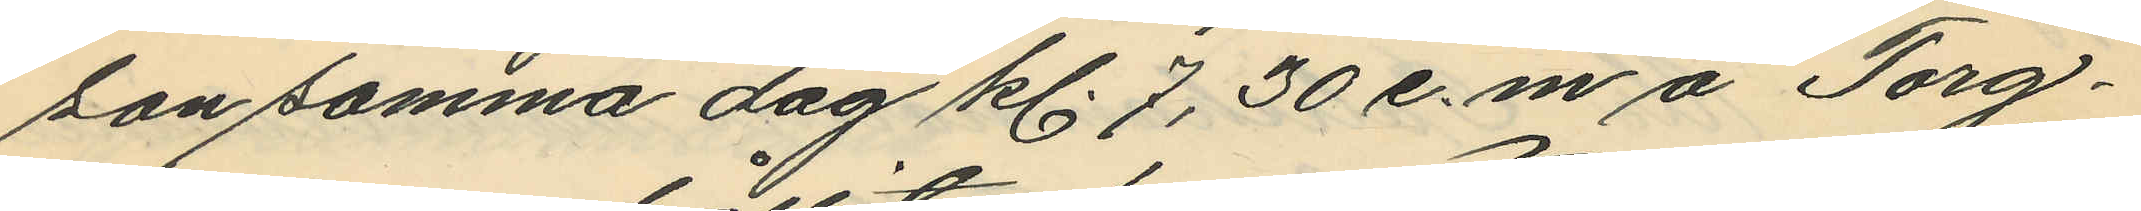son samma dag kl. 7,30 e.m å Torg¬
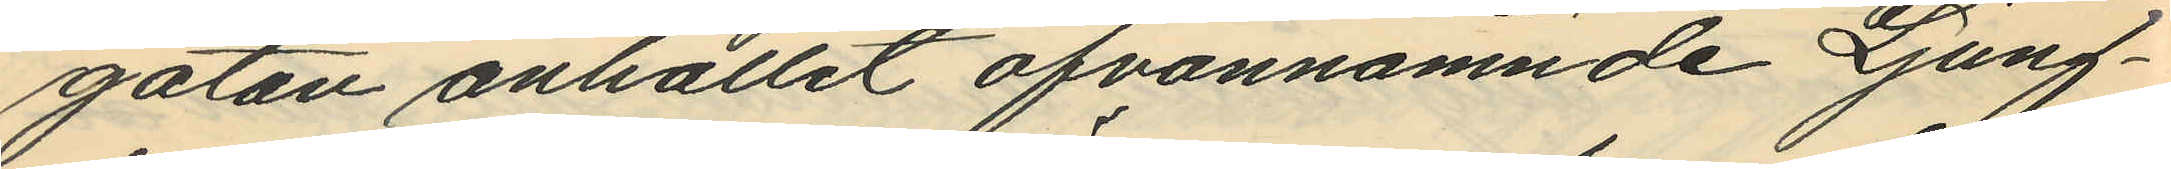gatan anhållit ofvannämnde Ljung¬
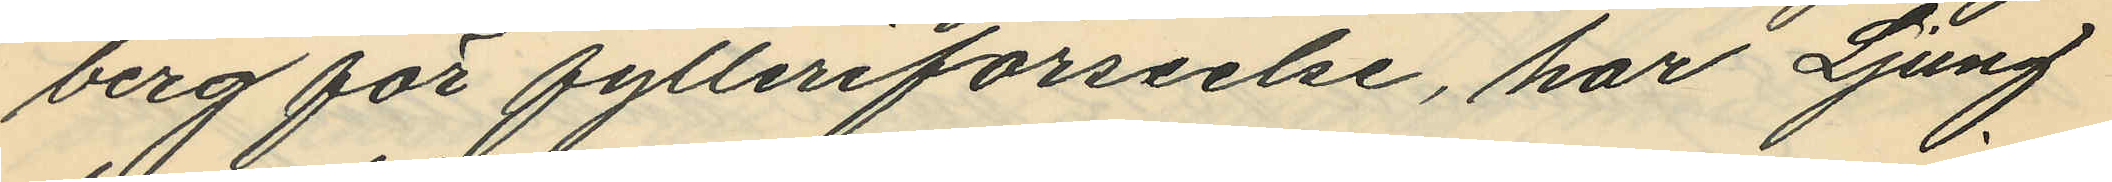berg för fylleriförseelse, har Ljung
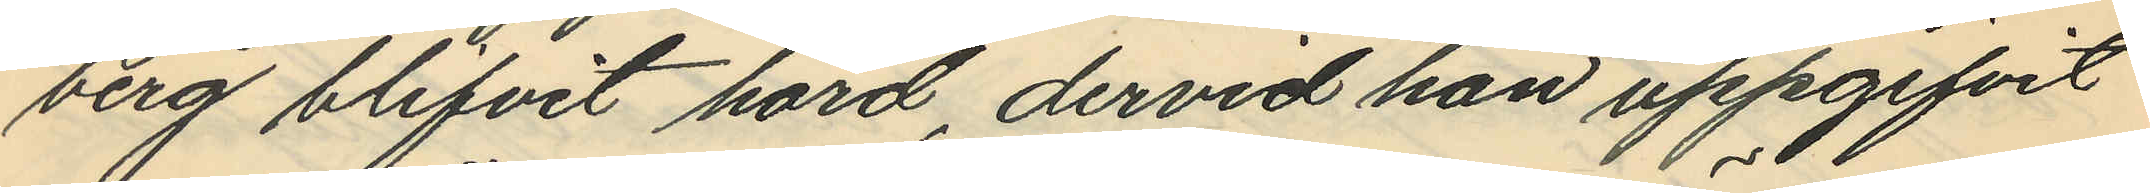berg blifvit hörd, dervid han uppgifvit
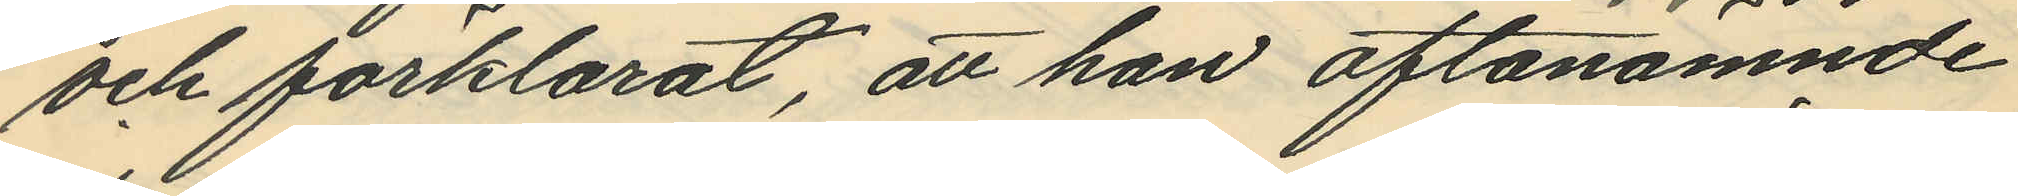och förklarat, att han oftanämnde
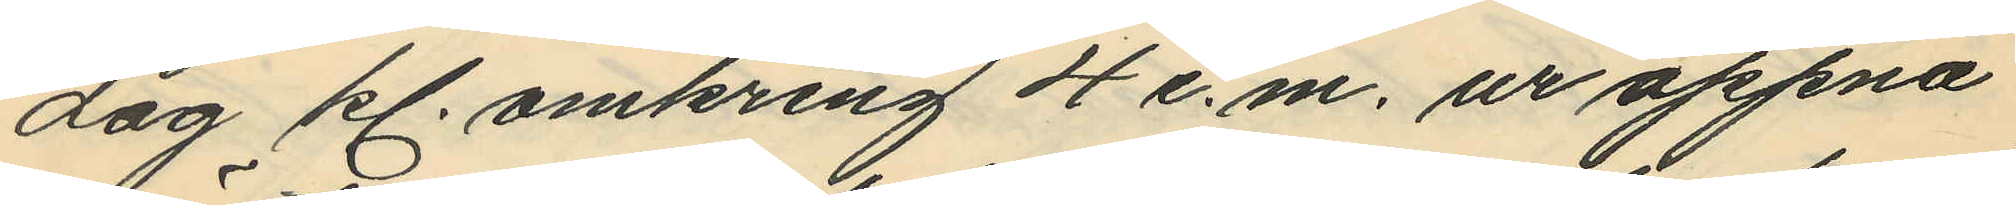dag kl. omkring 4 e. m. ur öppna
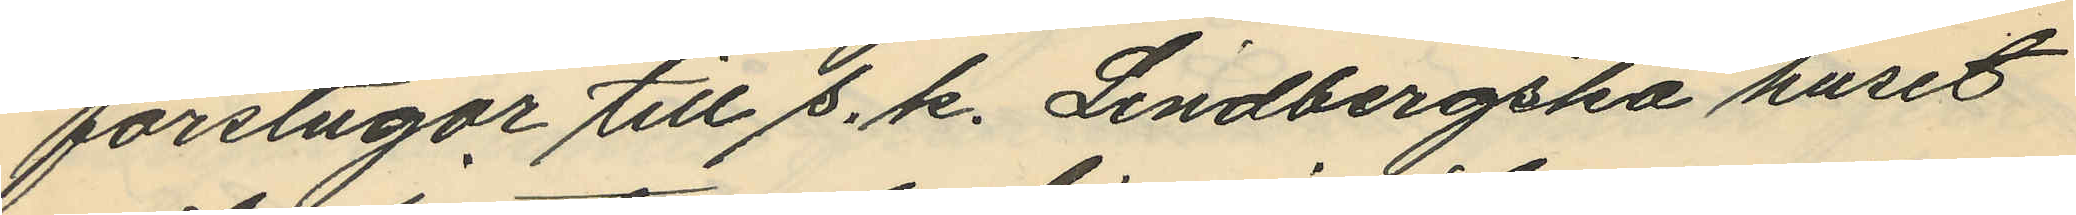förstugar till s. k. Lindbergska huset
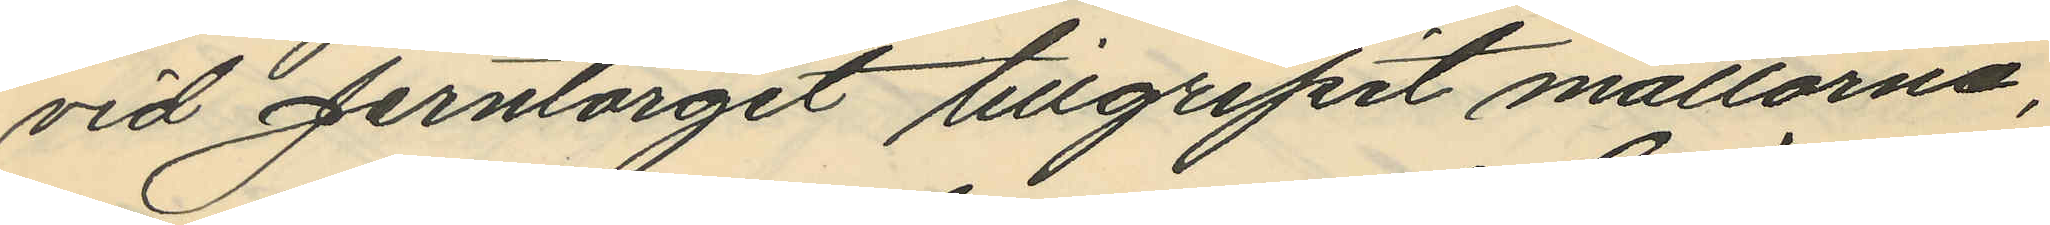vid Jerntorget tillgripit mattorna,
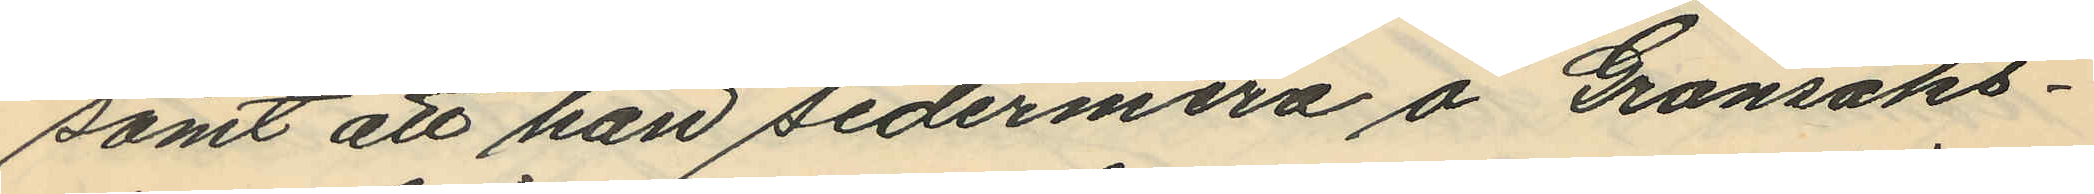samt att han sedermera å Grönsaks¬
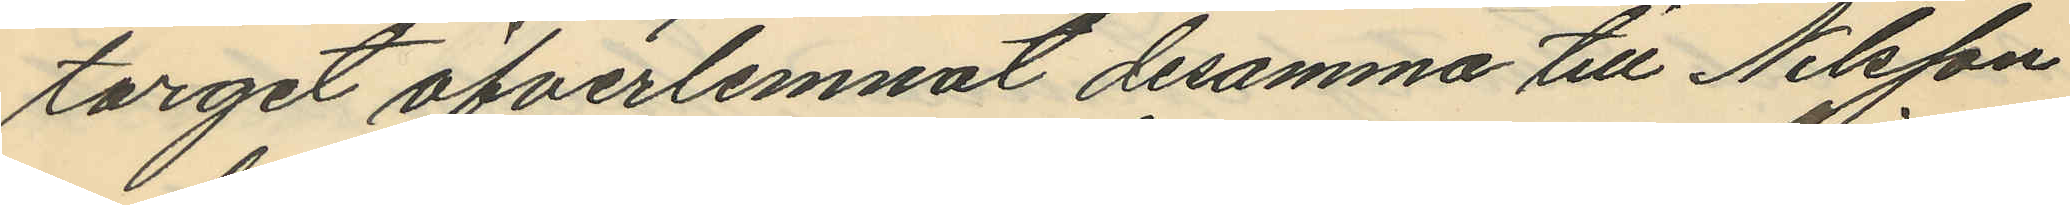torget öfverlemnat desamma till Nilsson
